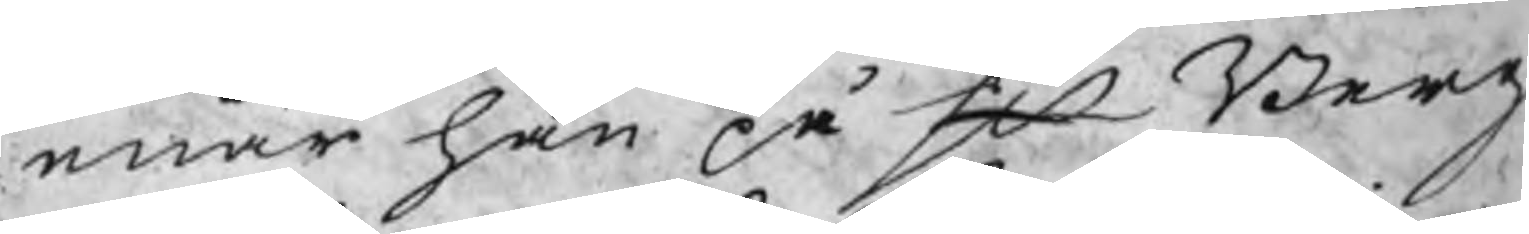enär han på Hr Berg
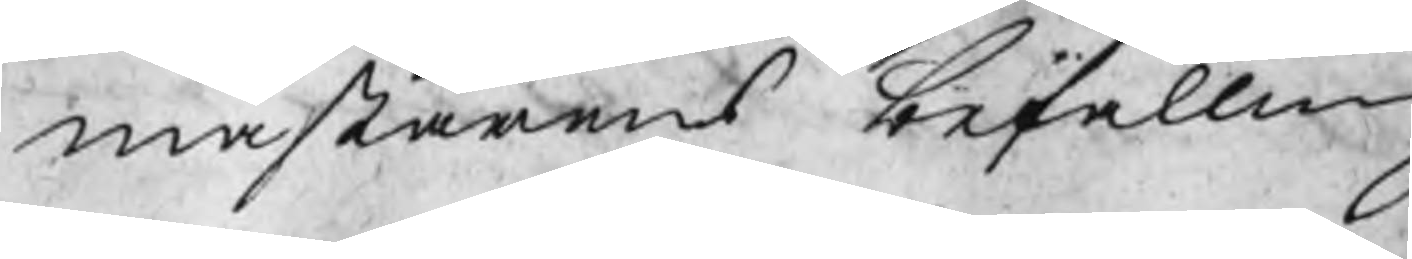mästarens befallning
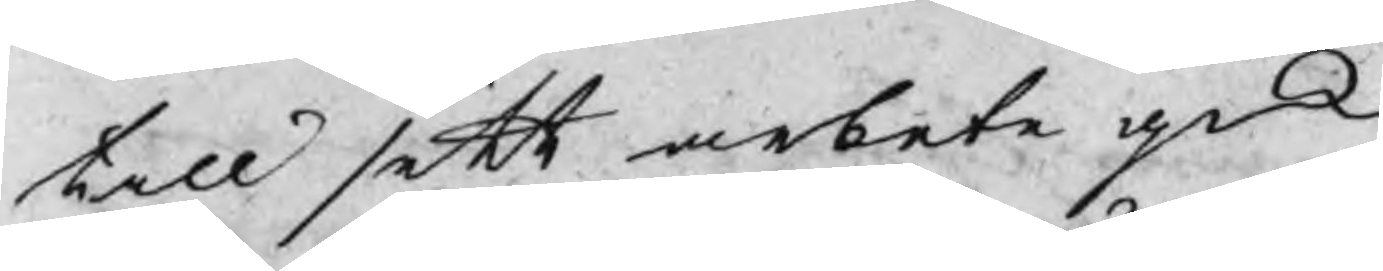till sitt arbete gick
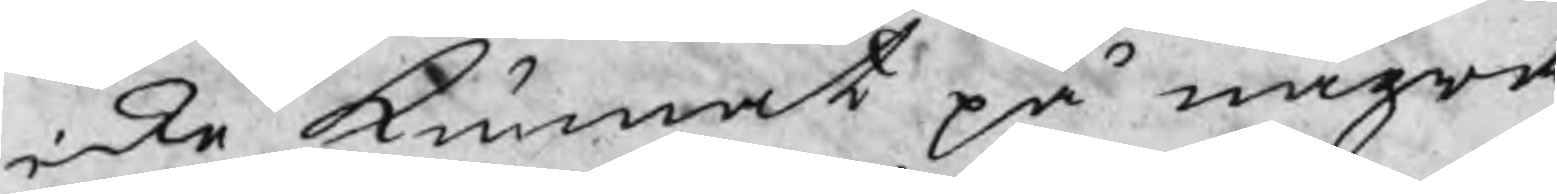icke kunnat på några
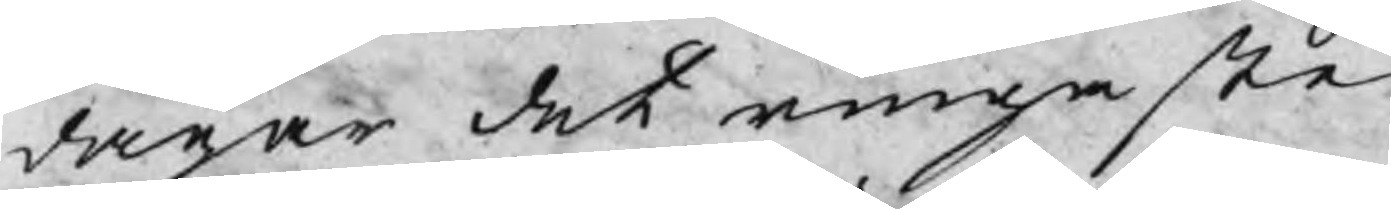dagar det ringaste
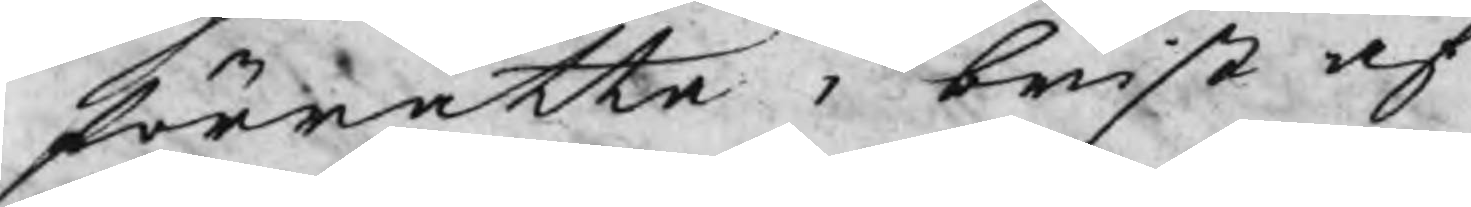föttätta i brist af
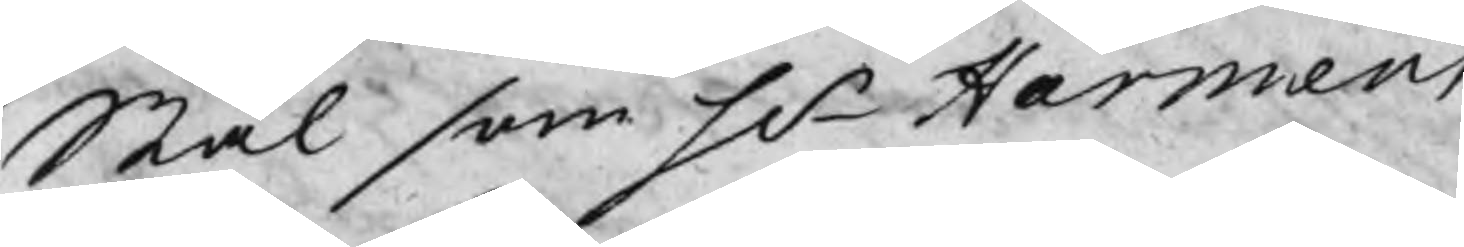Stål som Hr Harmens
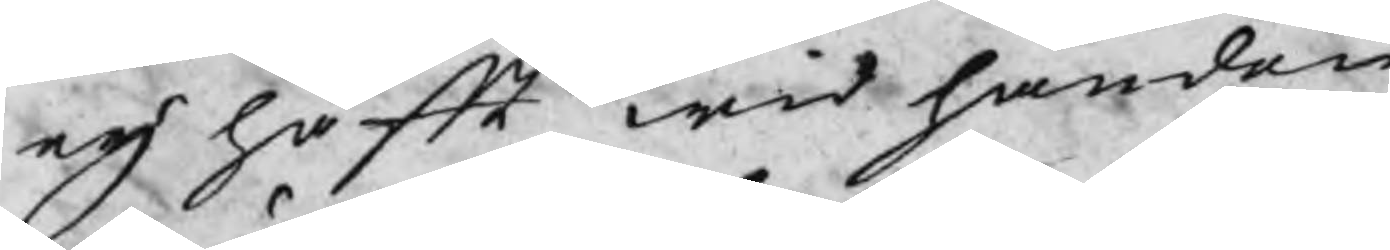eij haft wid handen
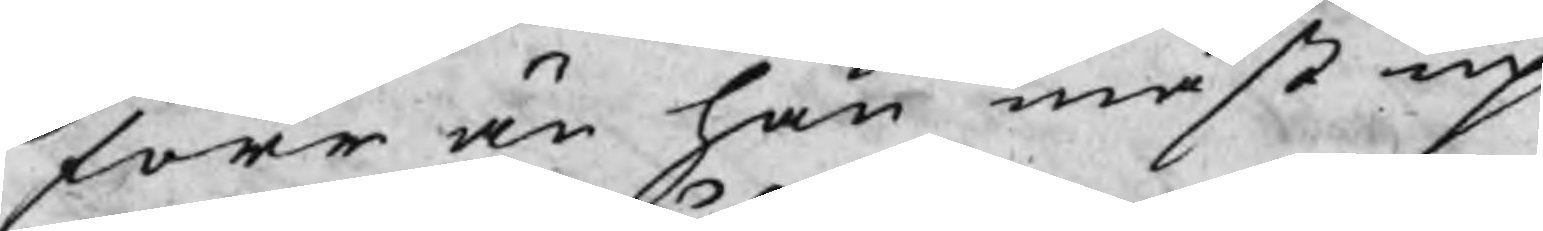förr än han måst up
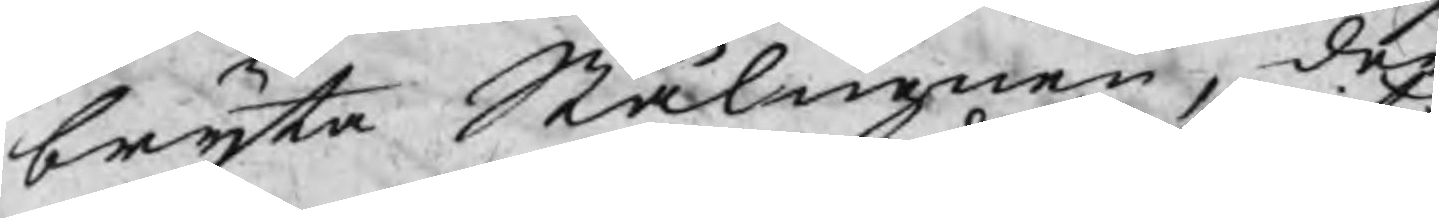bryta Stålningen, der
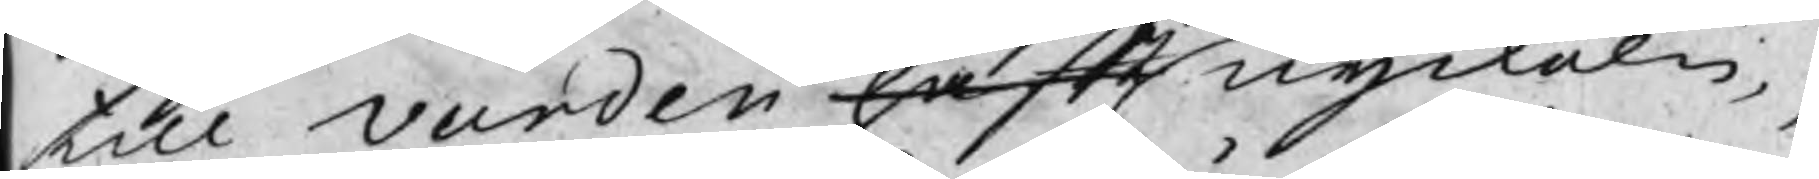till Varden haft nyckeln,
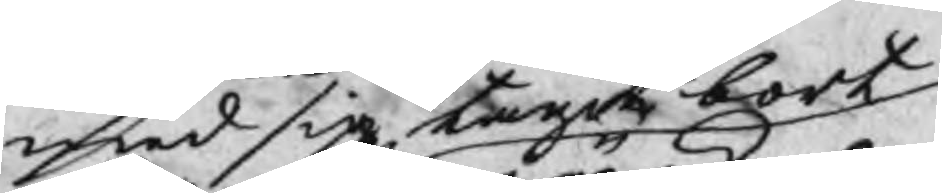med sig tagit bort
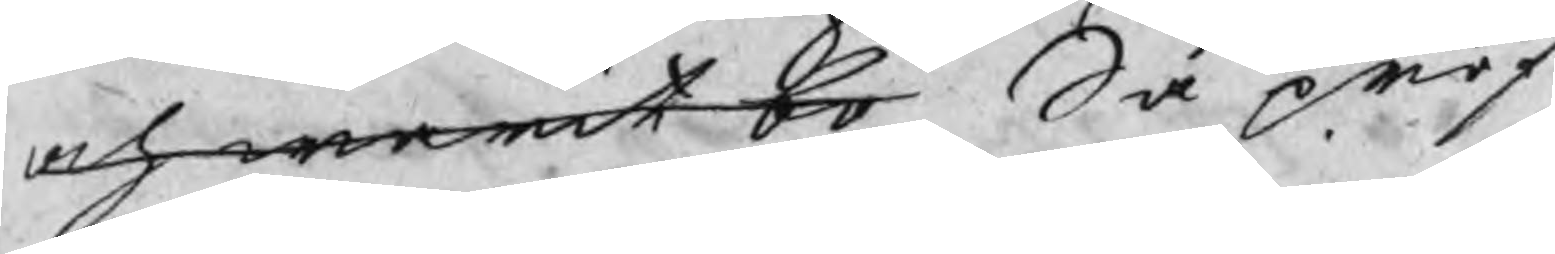och warit bo Så pröf
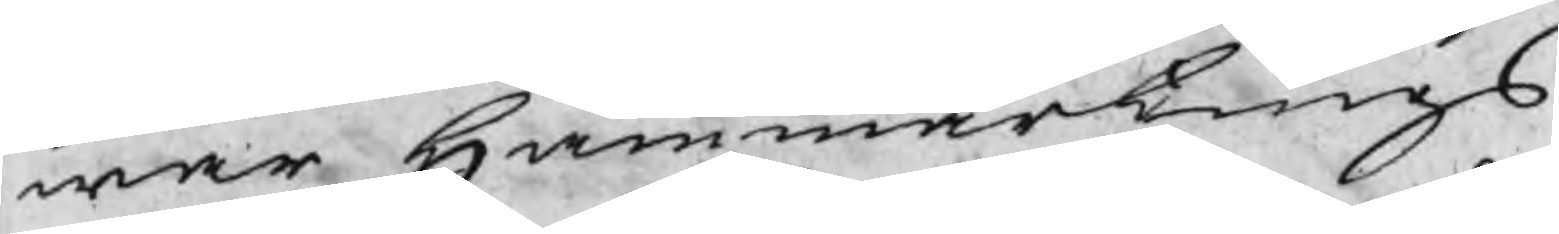war Hammartings
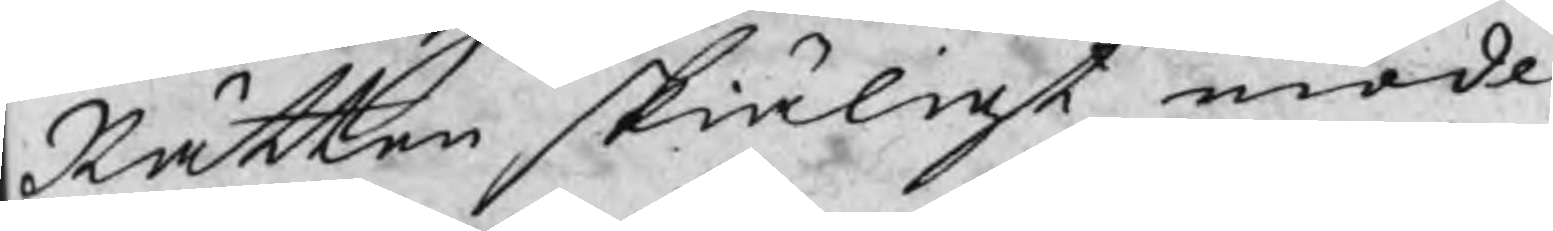Rätten skiäligt mode
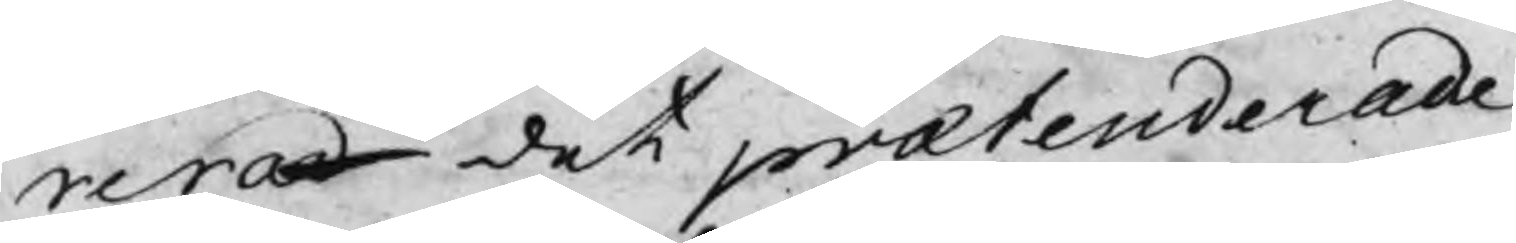rerad det prætenderade
